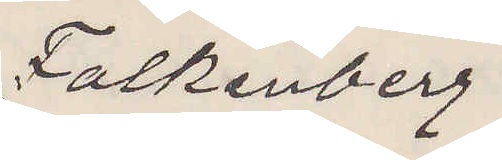Falkenberg.
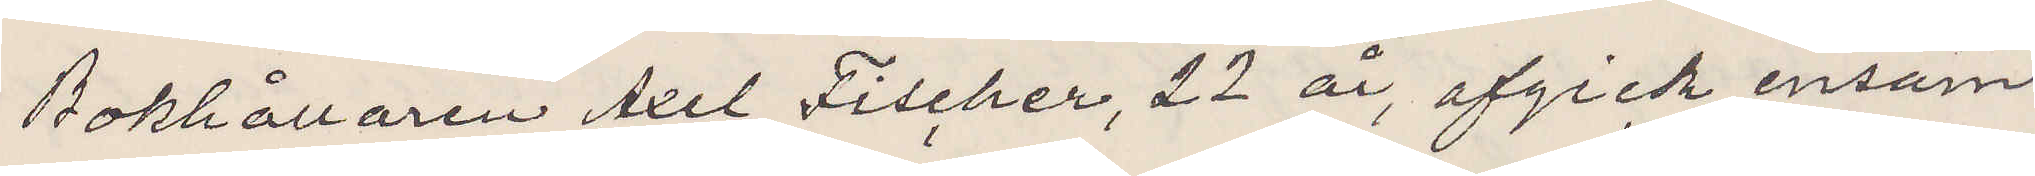bokhållaren Axel Fischer, 22 år, afgick ensam
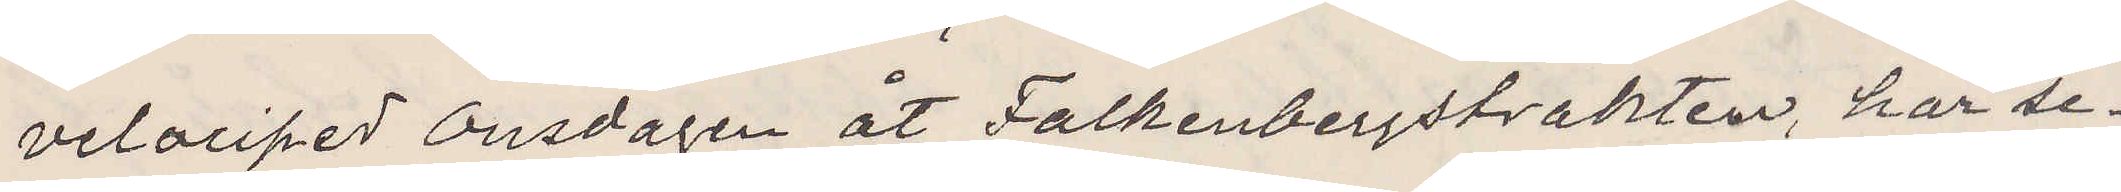velociped Onsdagen åt Falkenbergstrakten, har se¬
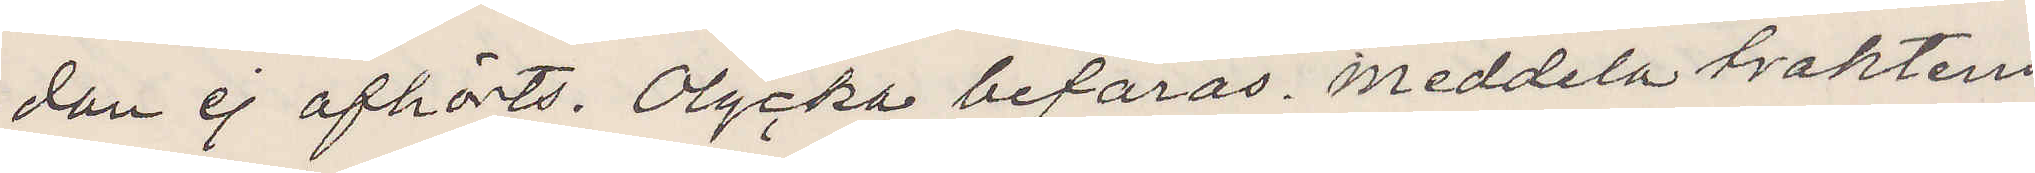dan ej afhörts. Olycka befaras. meddela traktens
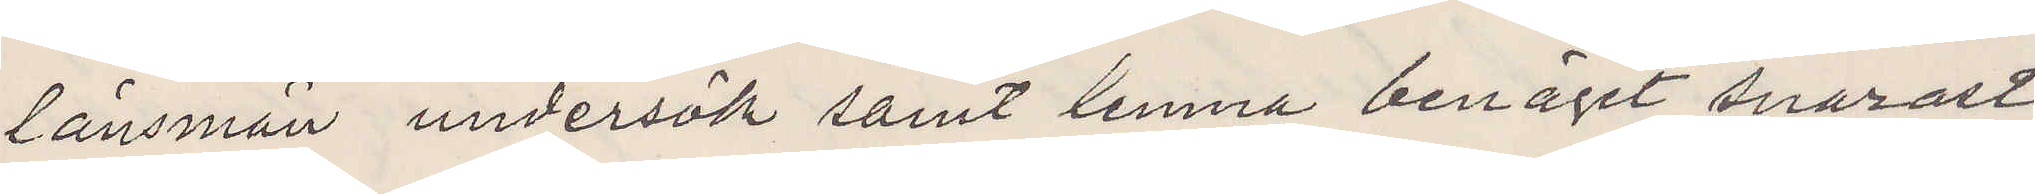länsman undersök samt lemna benäget snarast
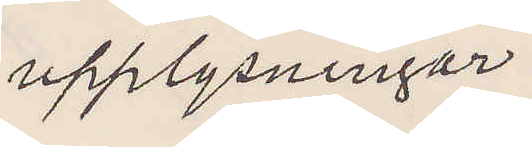upplysningar.
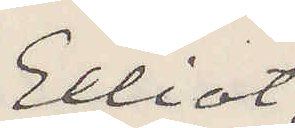Elliot
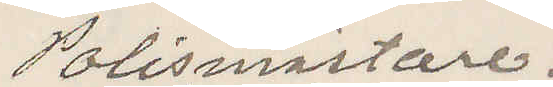Polismästare.
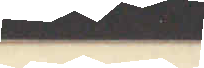1897
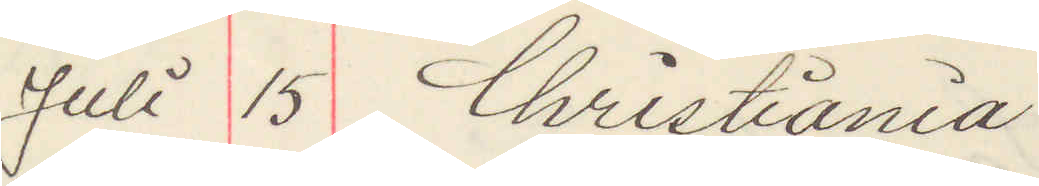Juli 15 Christiania
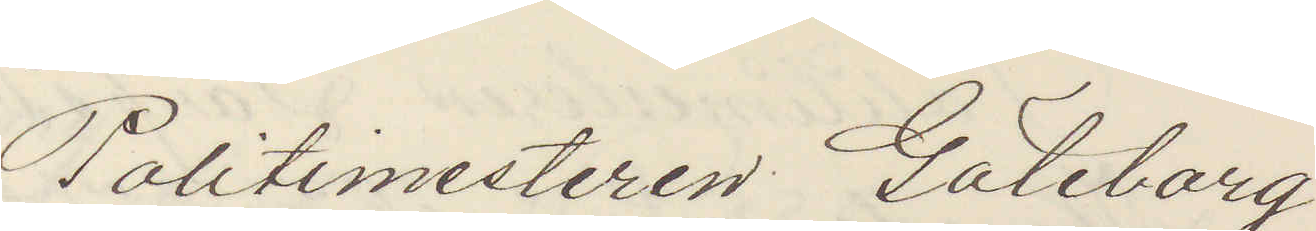Politimesteren Göteborg
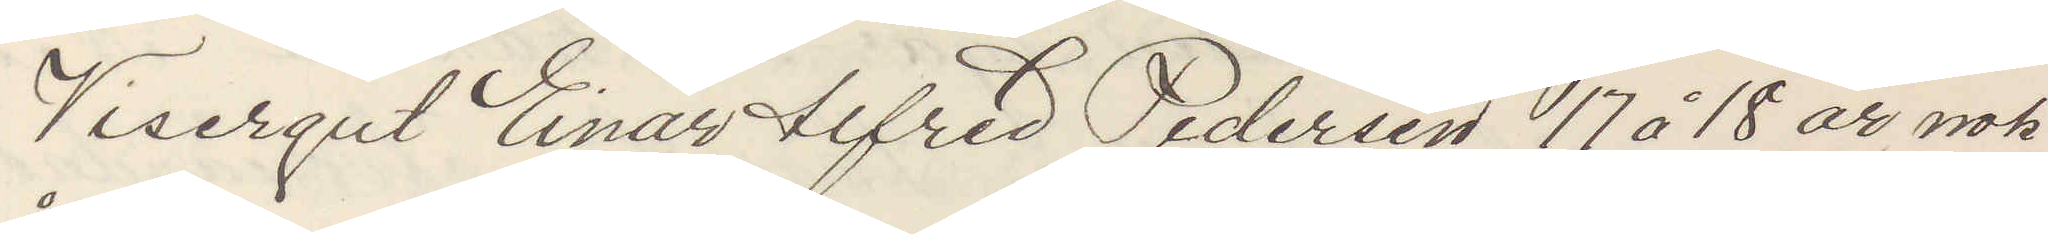Visergut Einar Alfred Pedersen 17 à 18 år nok
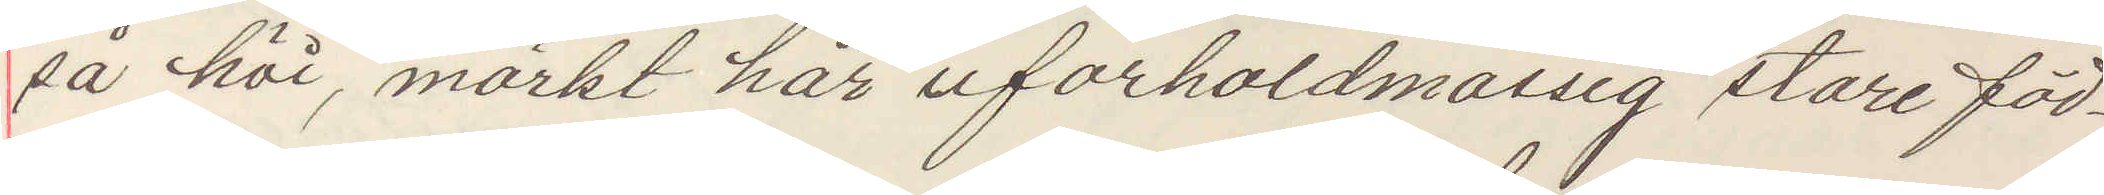så höi, mörkt hår uforholdmässig store föd¬
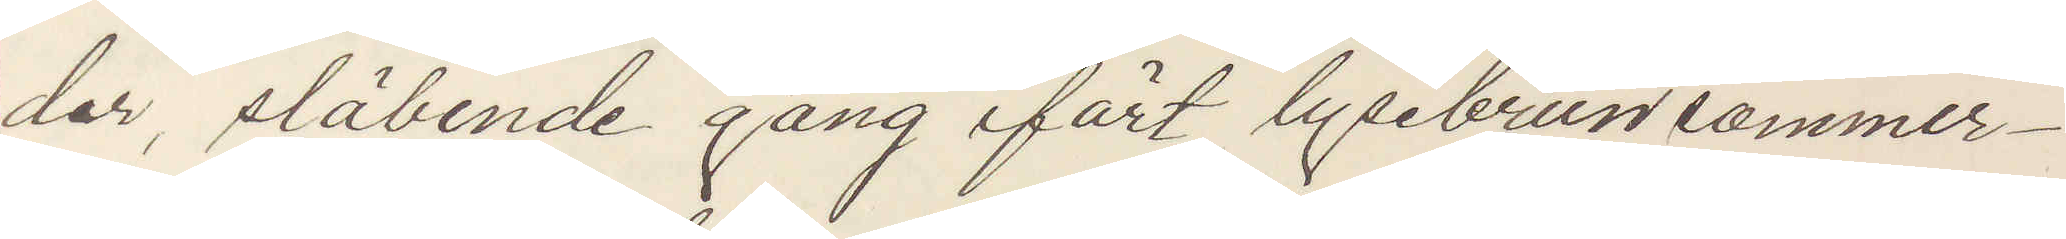der, ståbende gang ifört lysebrun sommer¬
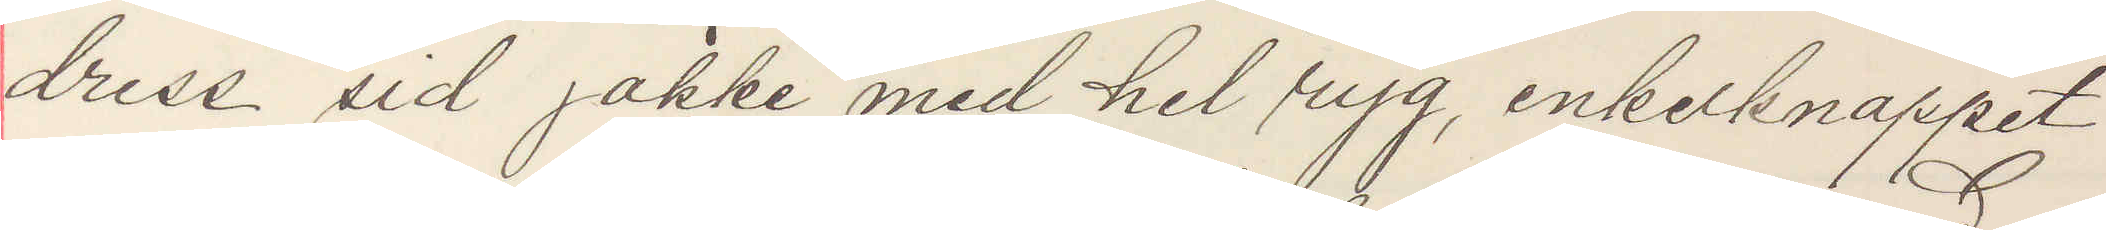dress sid jakke med hel ryg, enkelknappet
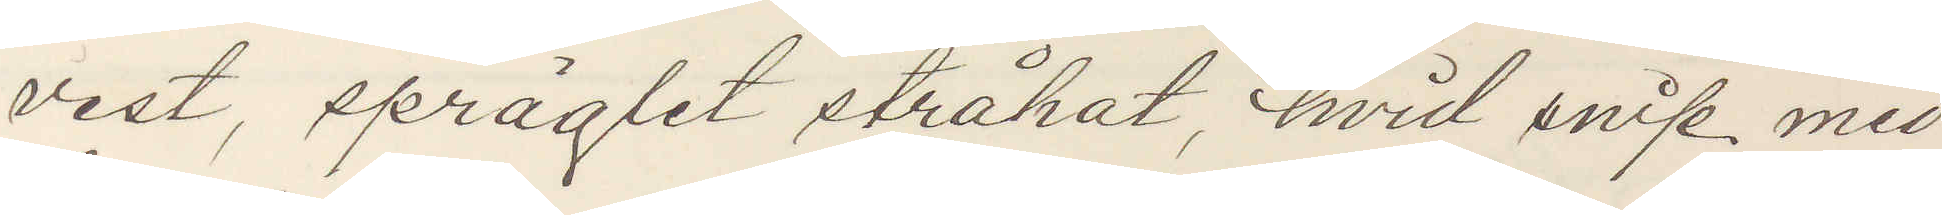vest, spräglet stråhat, hvid snip med
